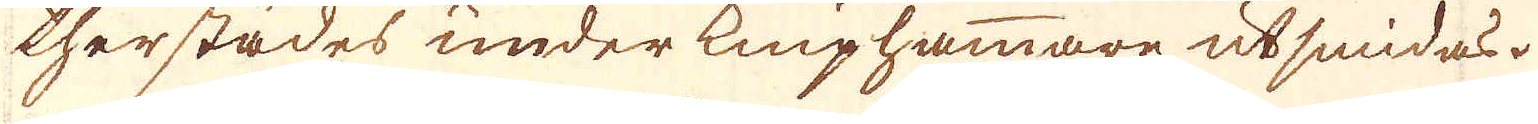therstädes underkniphammare utsmidas.
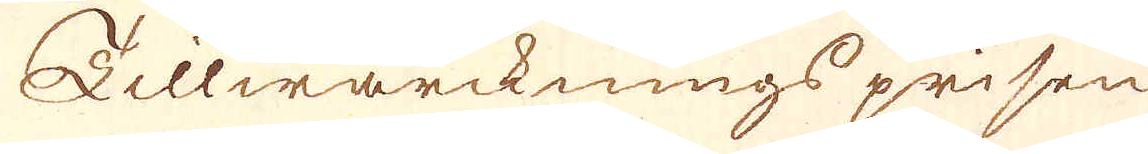Tillwärcknings prisen
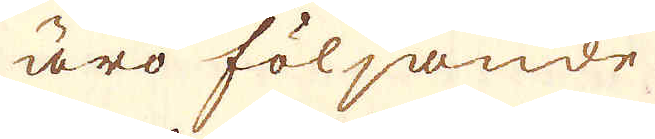äro följande
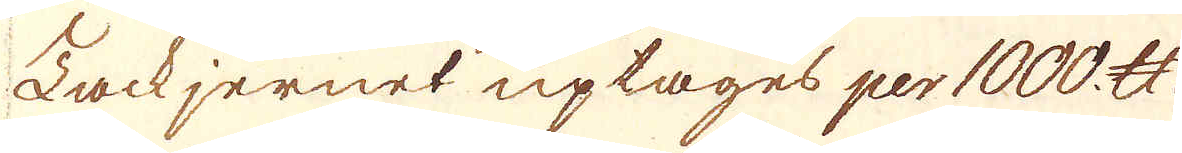Tackjernet uptages per 1000. skålpund.
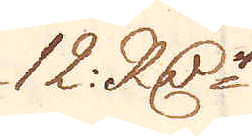12. RD:r
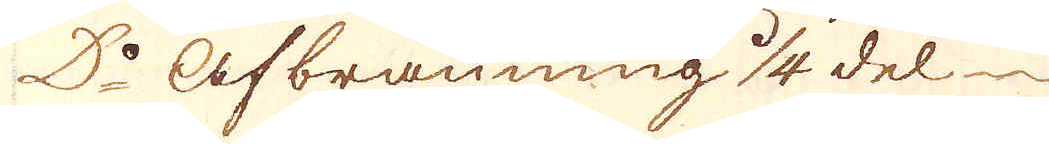D:o afbränning 1/4 del
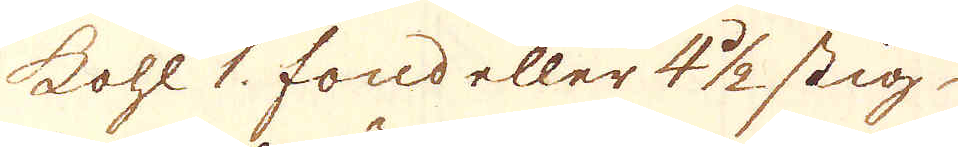kohl 1. fond eller 4 1/2 stig.
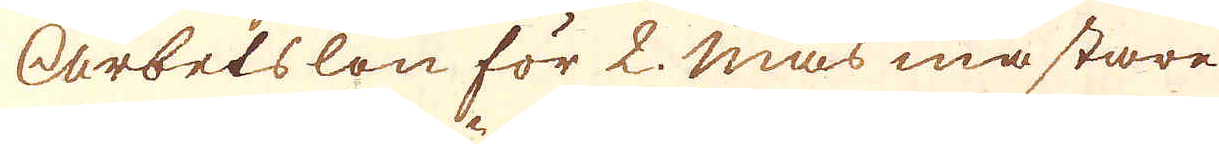Arbetslön för 2. Mas mästare
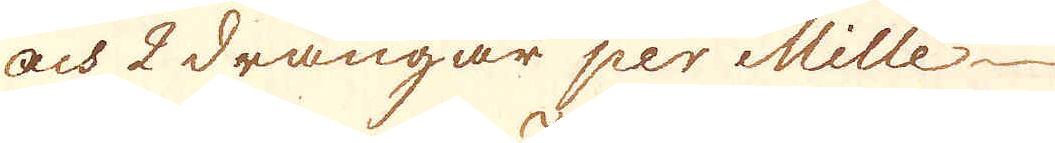och 2 drängar per Mille
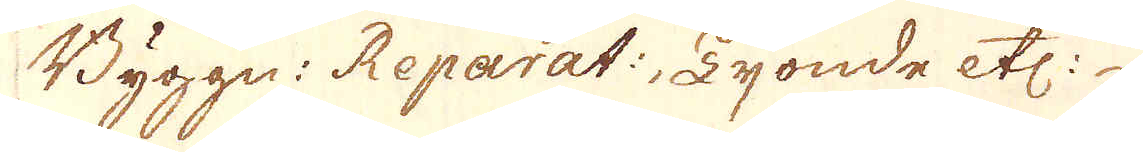Byggn: Reparat:, Tyonde etc:
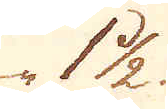1 1/2
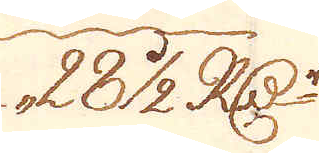28 1/2 R:Dr
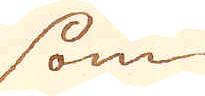som
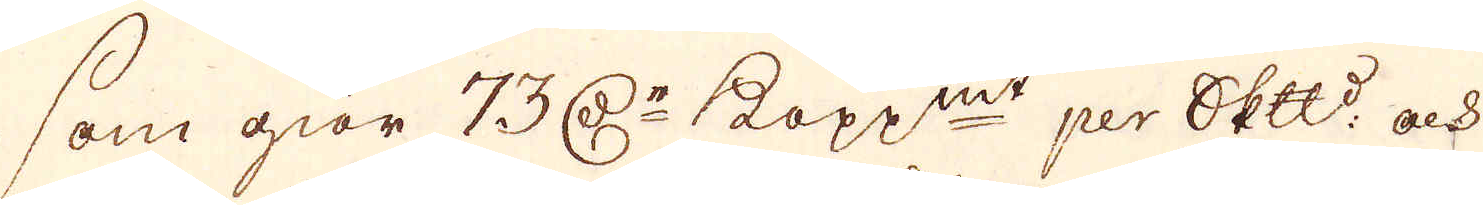som giör 73 D:r kopp:mt per skepppund och
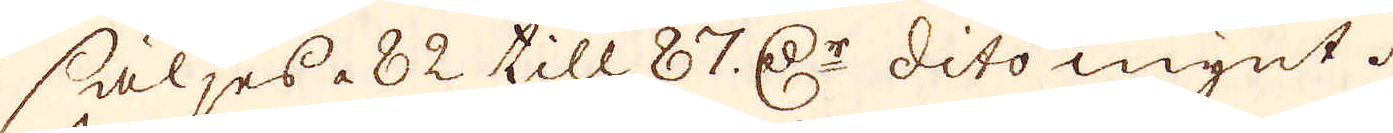säljes à 82 till 87 D:r dito mynt.
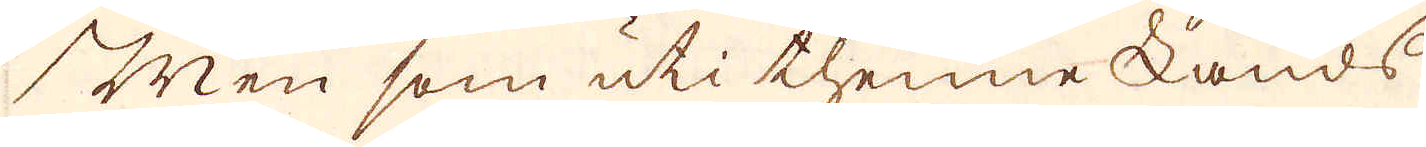Men som uti thenne Lands
